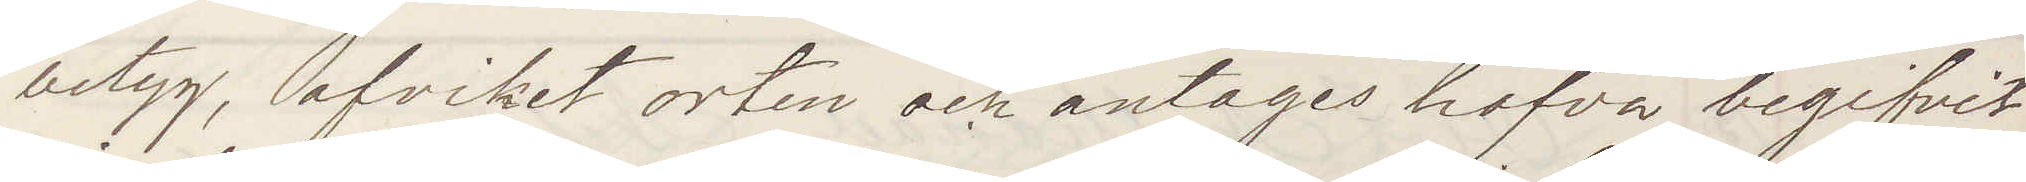betyg, afvikit orten och antages hafva begofvot
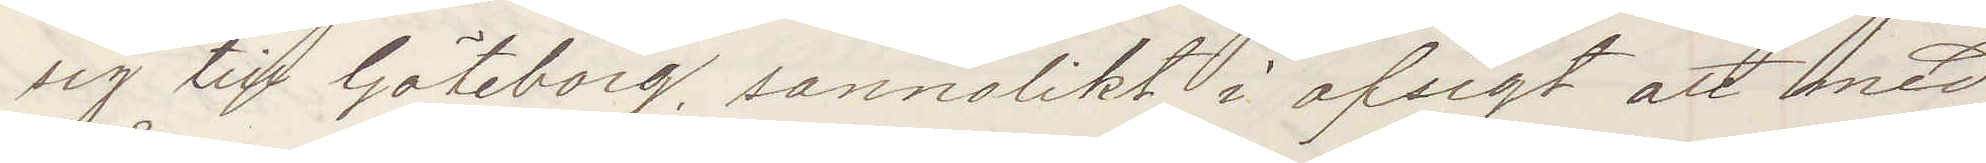sig till Göteborg sannolikt i afsigt att med
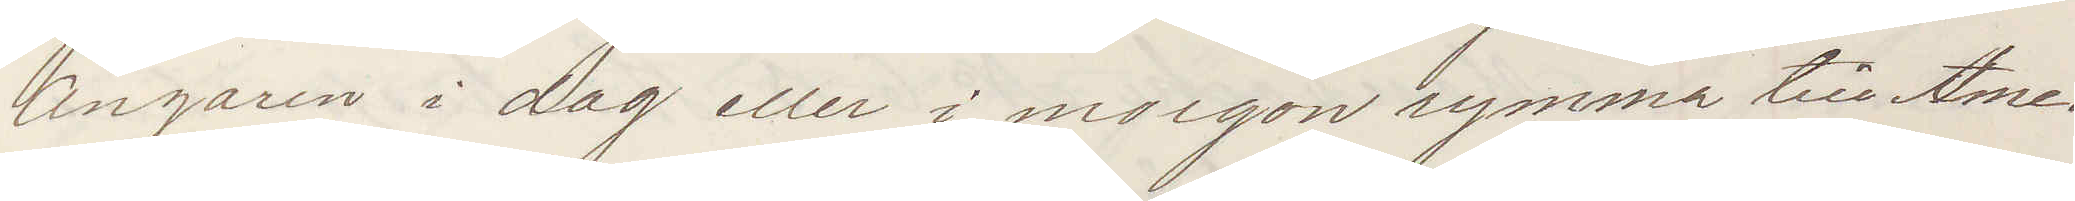Ångaren i dag eller i morgon rymma till Ame¬
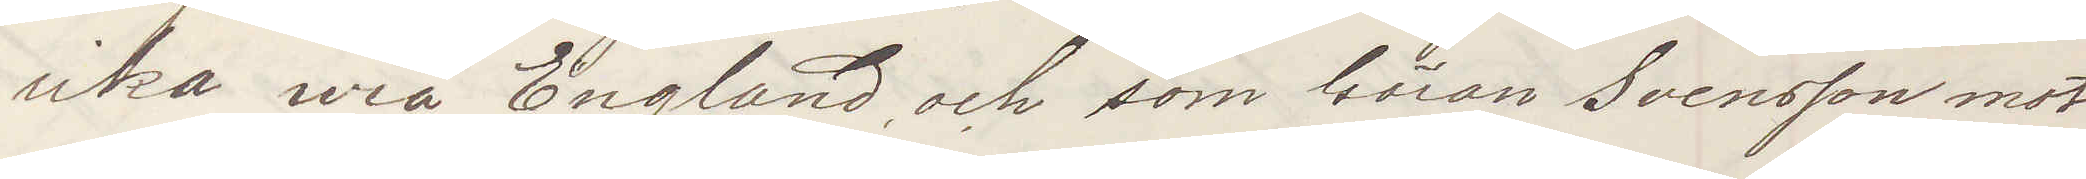rika wia England och som Göran Svensson mot
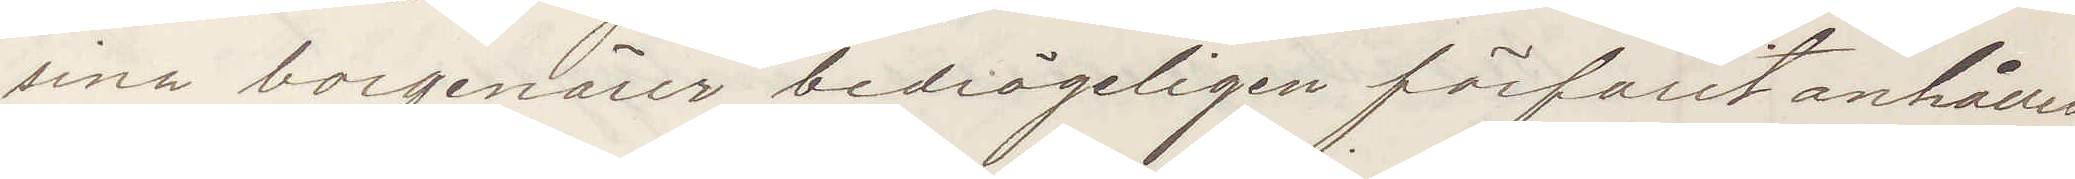sina borgenärer bedrägeligen förfarit anhålles
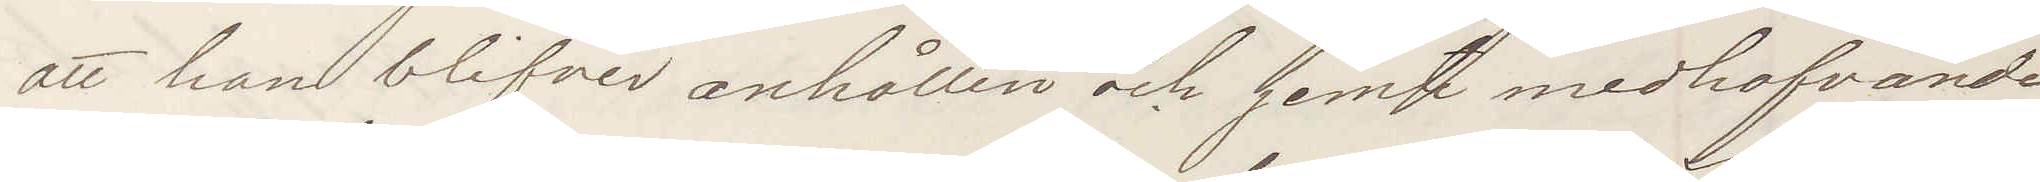att han blifver anhållen och jemte medhafvande
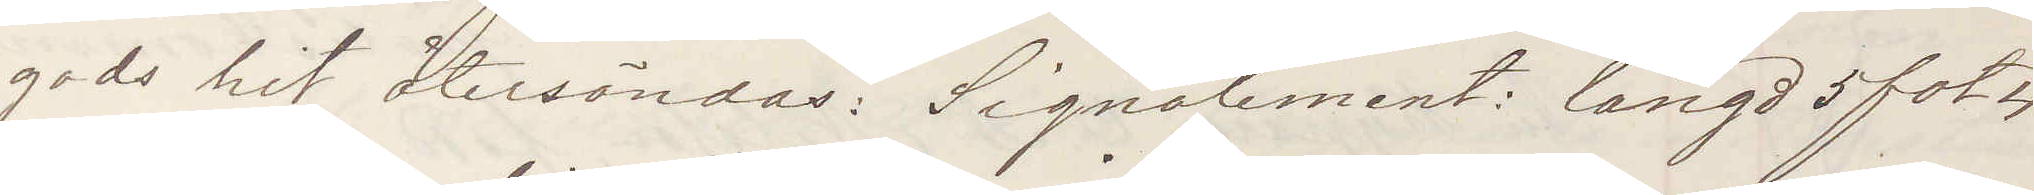gods hit återsändes: Signalement: längd 5 fot 4
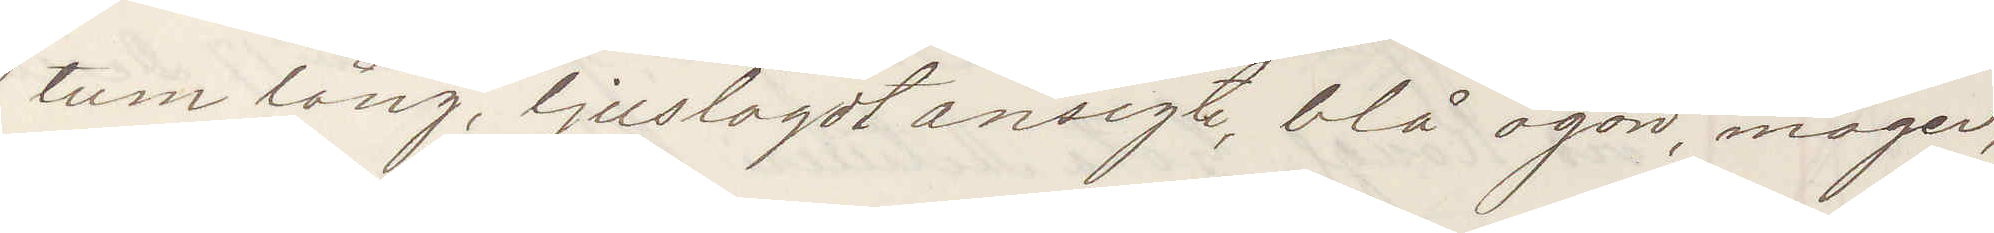tum lång, ljuslagdt ansigte, blå ögon, mager,
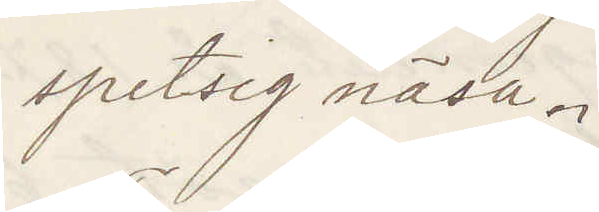spetsig näsa.
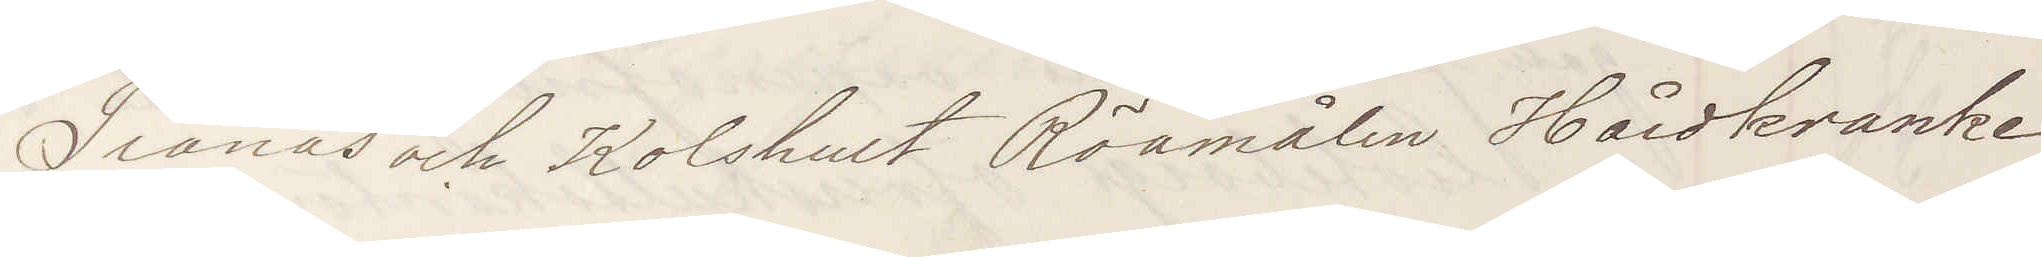Tranås och Kolshult Röamålen Hårdkranke¬
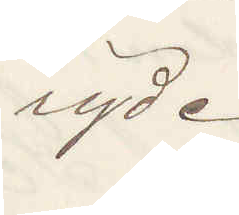ryde.
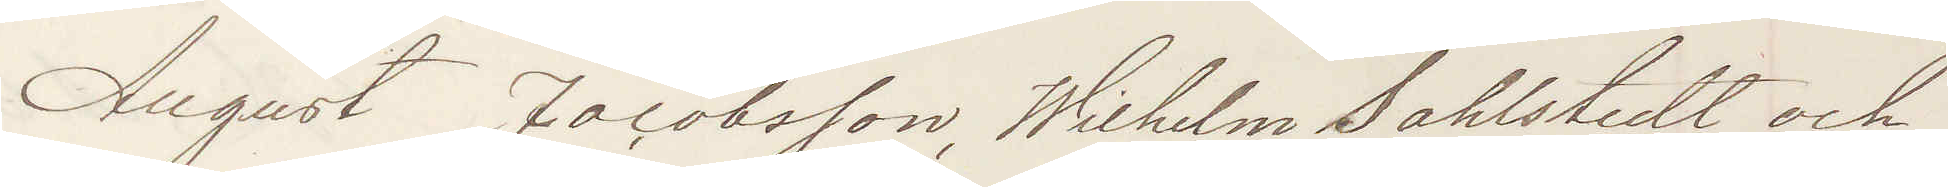August Jacobsson, Wilhelm Sahlstedt och
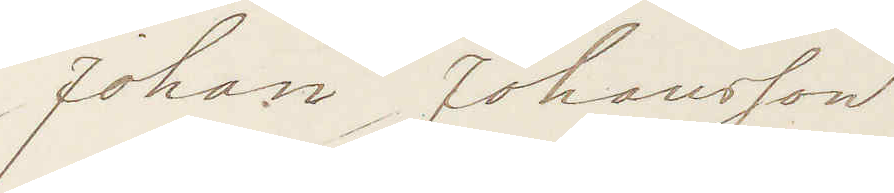Johan Johansson
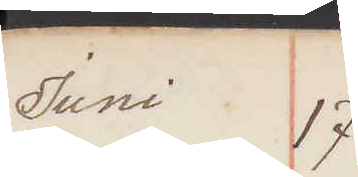Juni 17
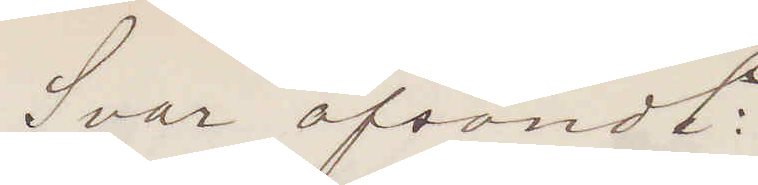Svar afsändt:
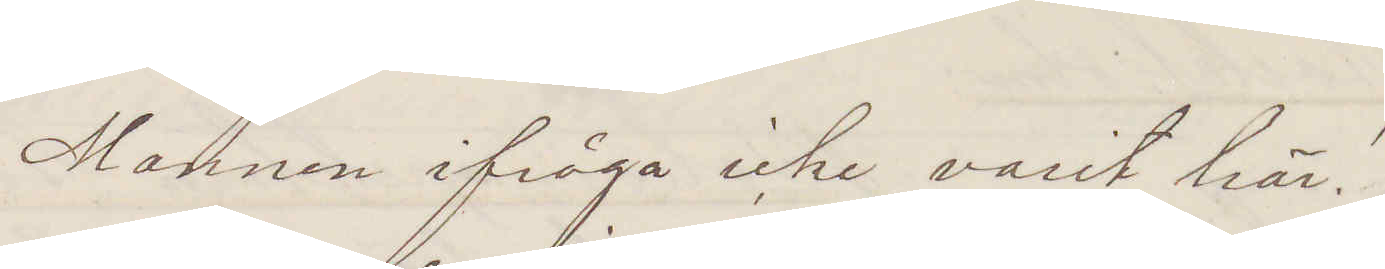Mannen ifråga icke varit här!
